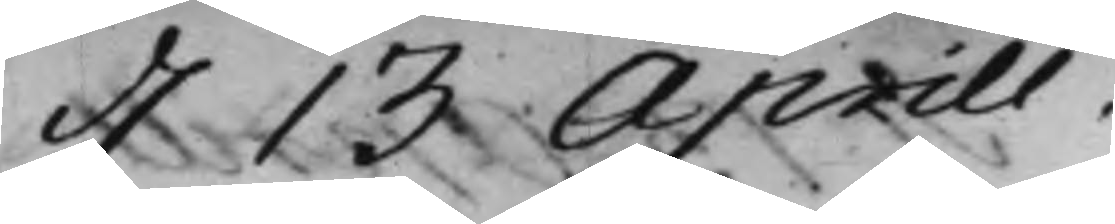d. 13 Aprill.
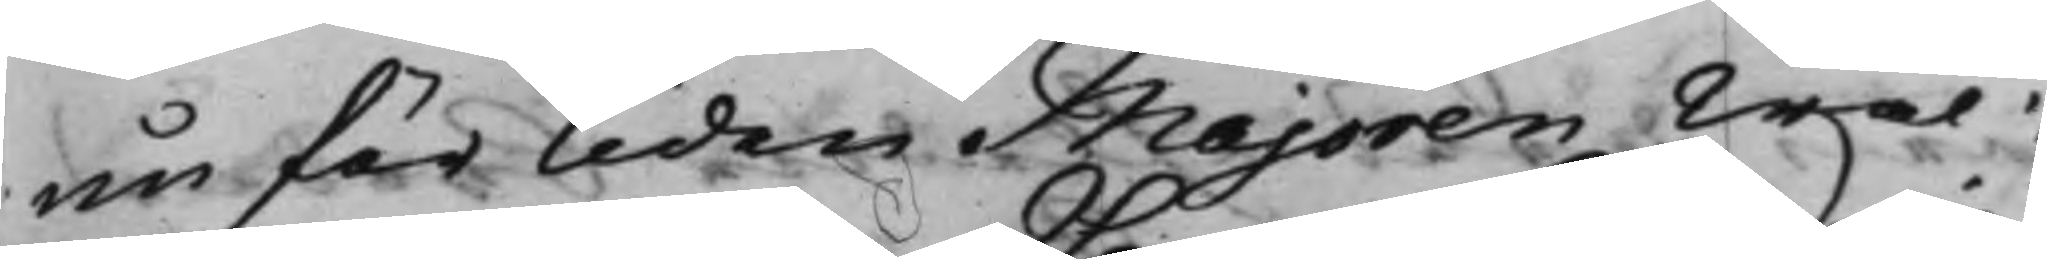nu för tiden Majoren Wäl¬
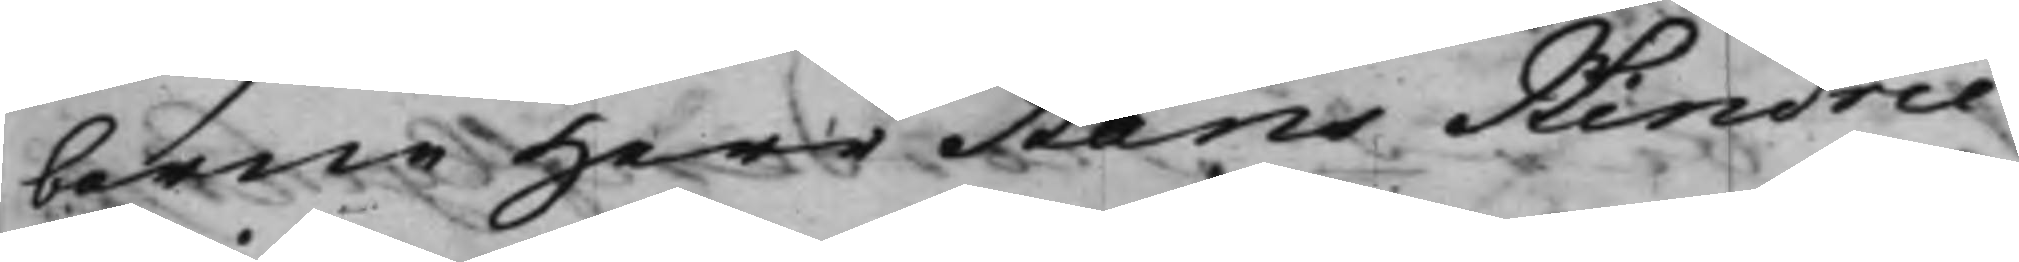borne Herr Hans Hindric
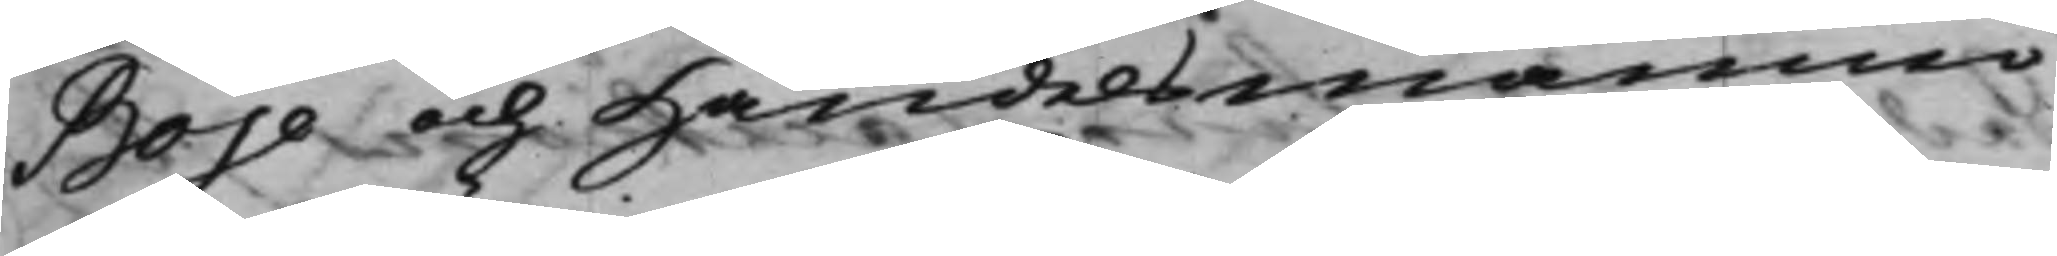Boje och Handelsmannen
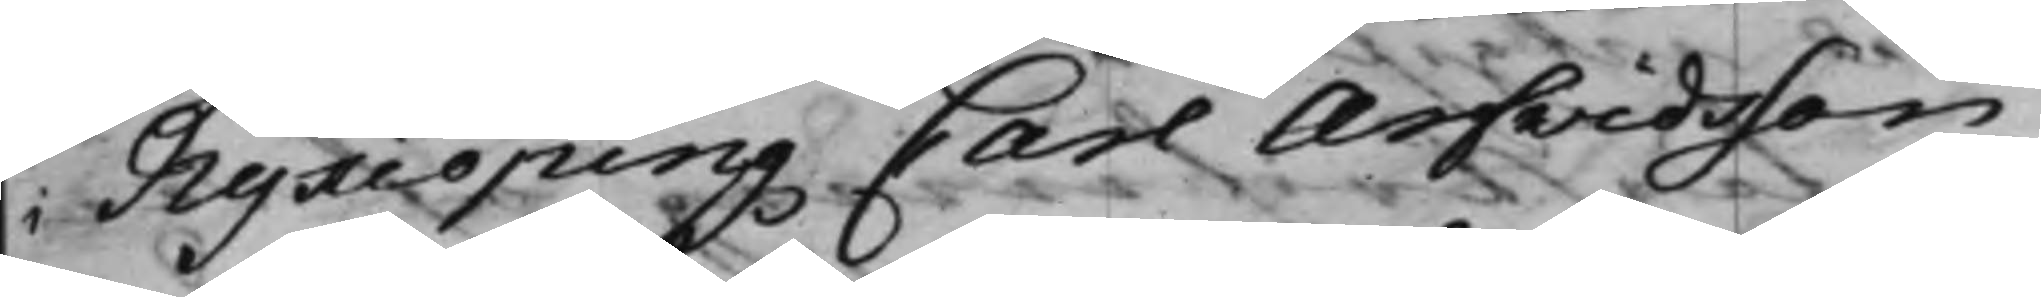i Nykiöping Carl Arfvidsson,
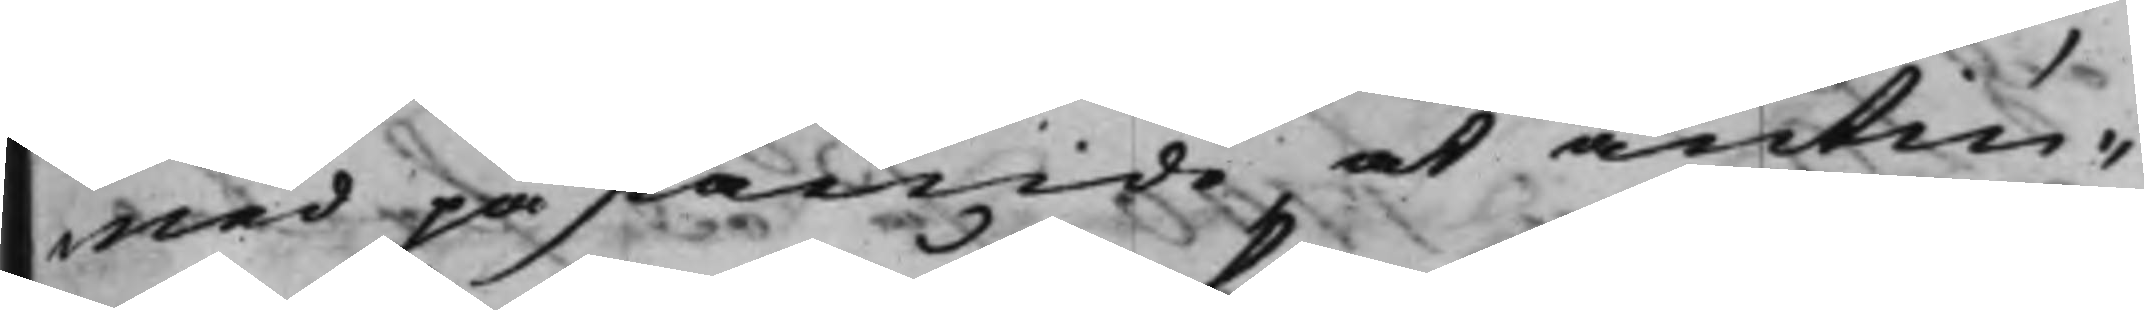med påstående, at antin¬
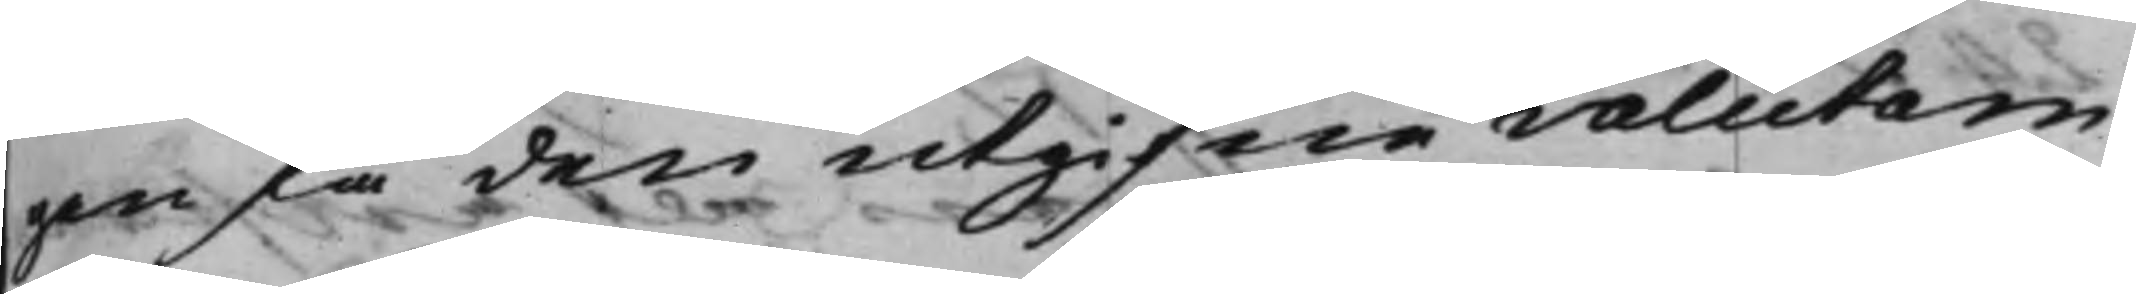gen få den utgifne valutan
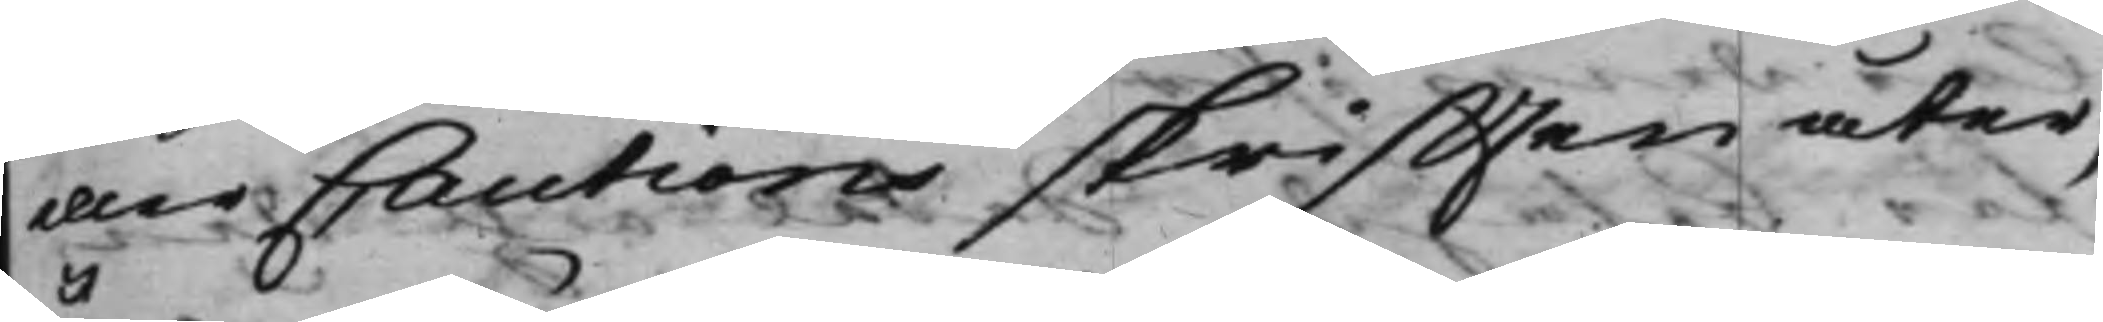eller Cautionsskrifften åter;
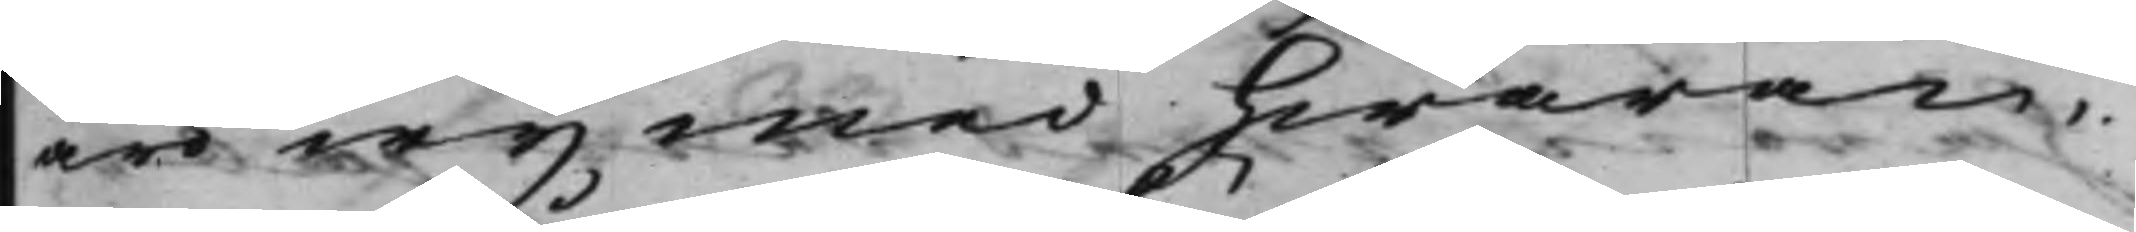äro wij med hwaran¬
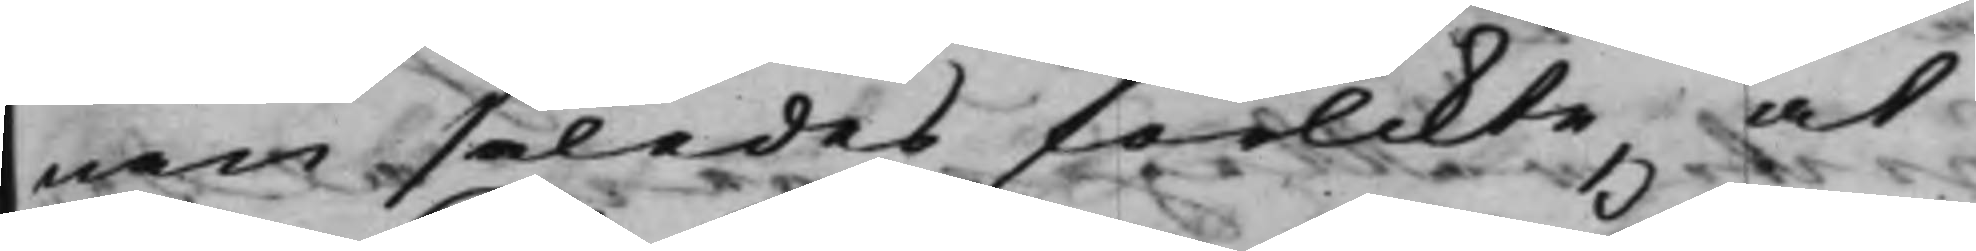nan således förlikte, at
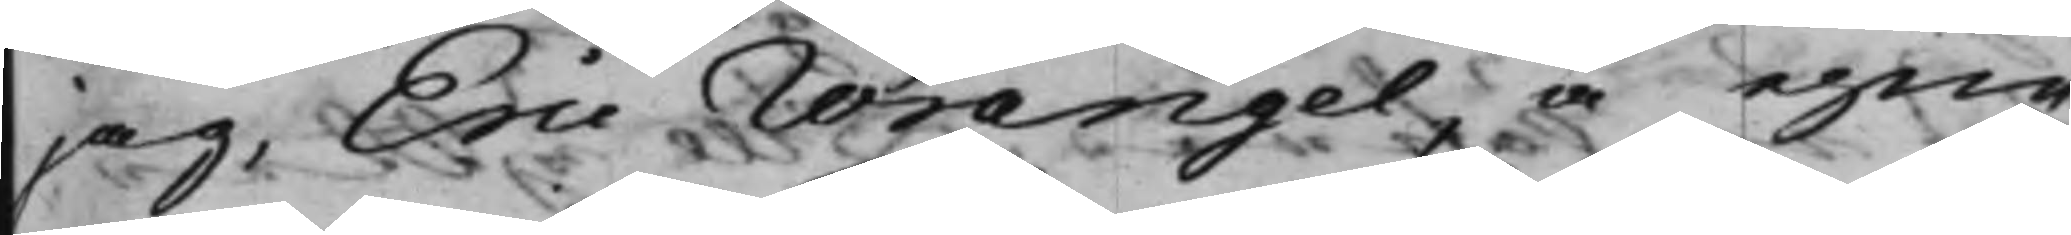jag, Eric Wrangel, å egen
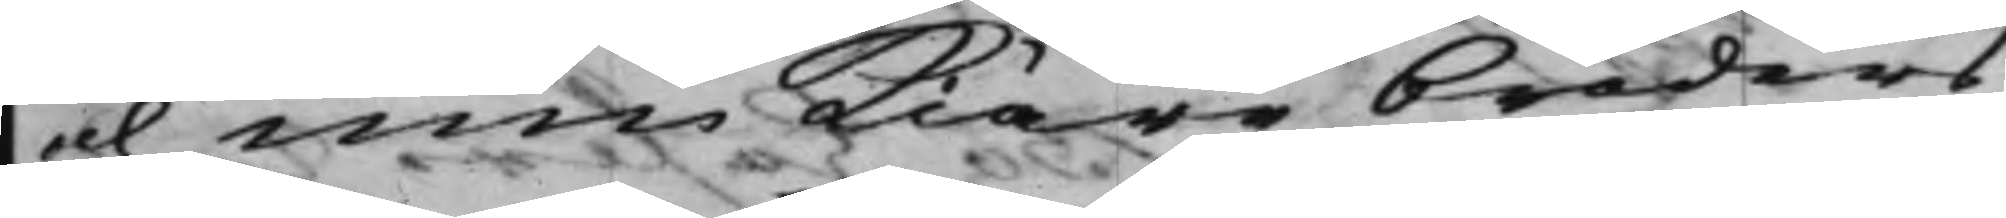och min kiäre broders
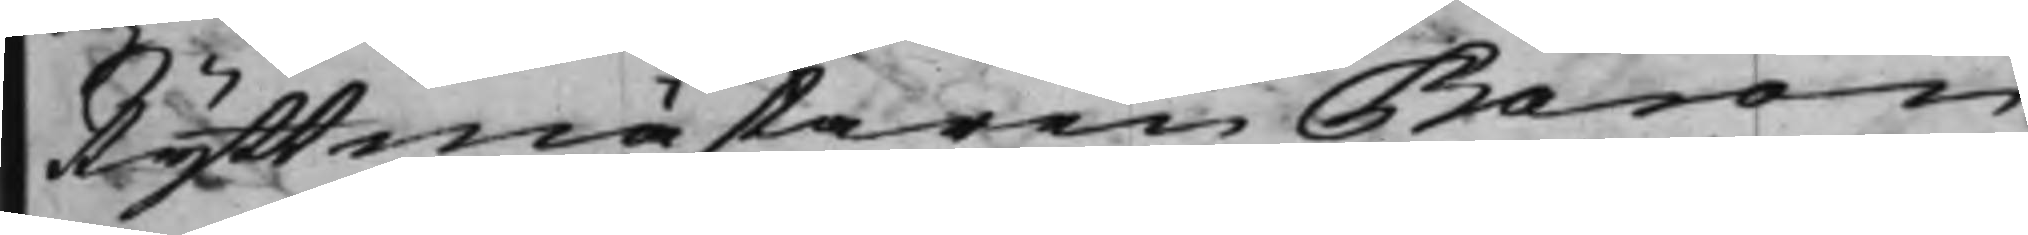Ryttmästaren Baron
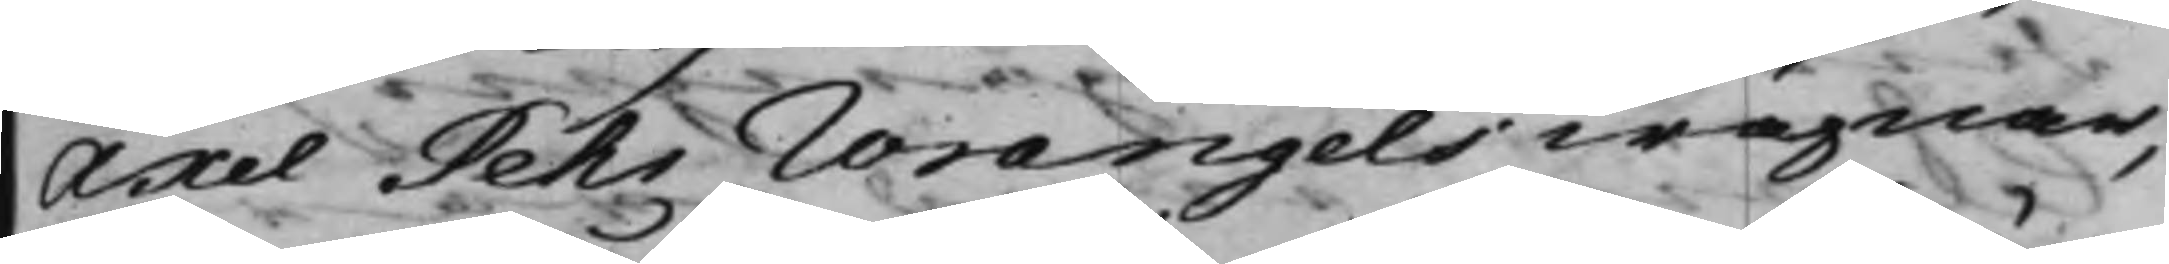Axel Pehr Wrangels wägnar,
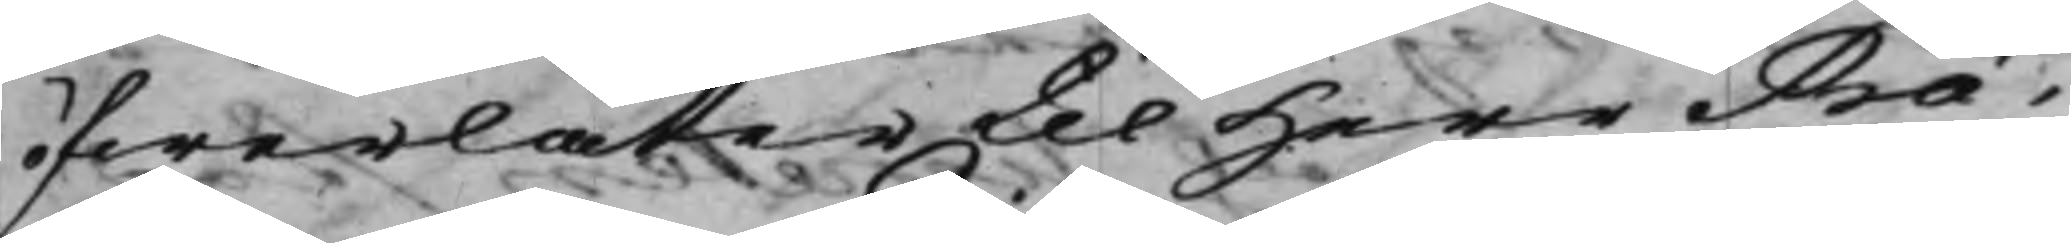öfwerlåter til Herr Præ¬
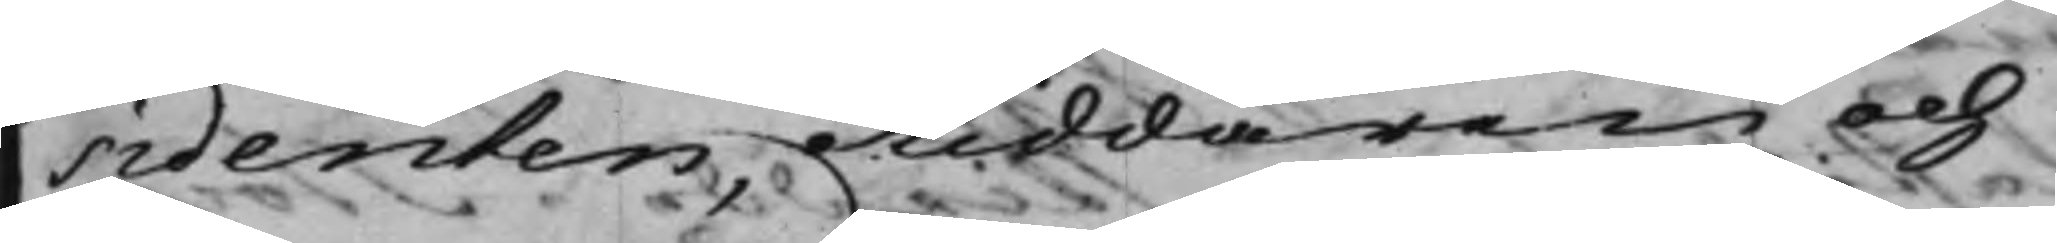sidenten, Riddaren och
